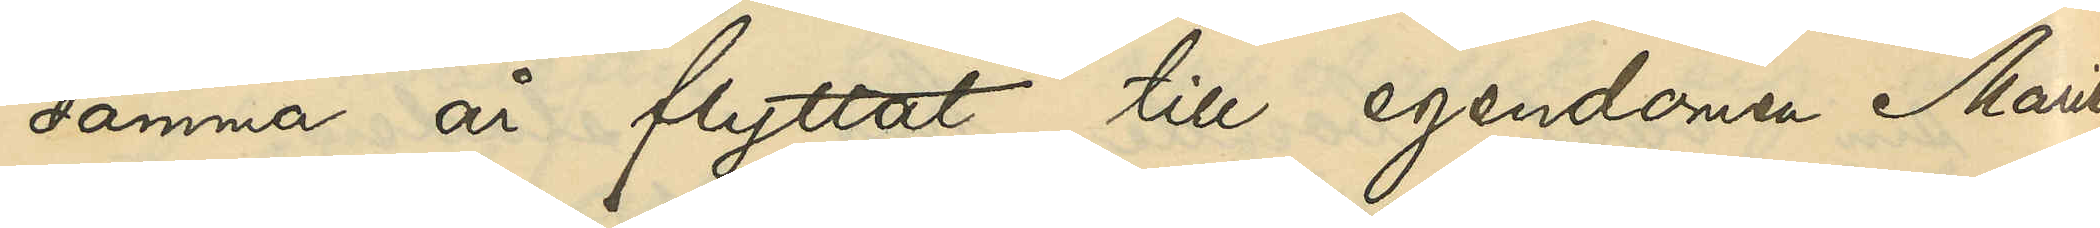samma år flyttat till egendomen Marie¬
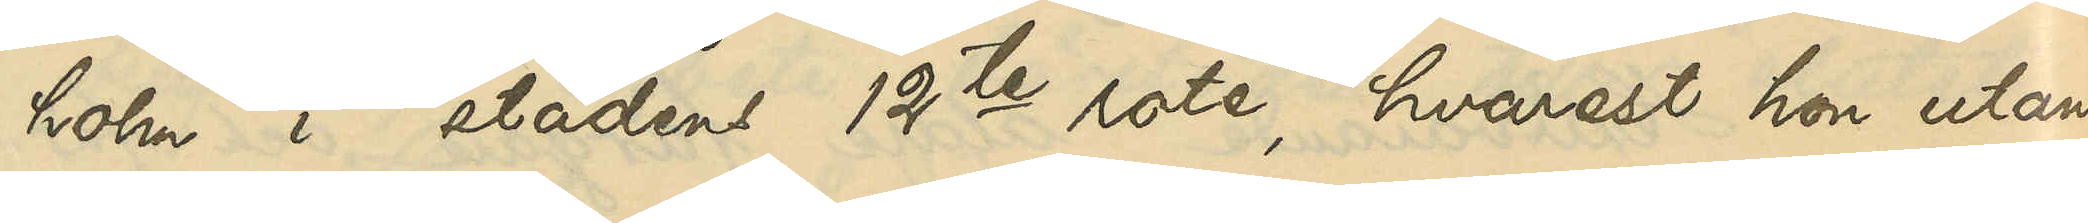holm i stadens 12te rote, hvarest hon utan
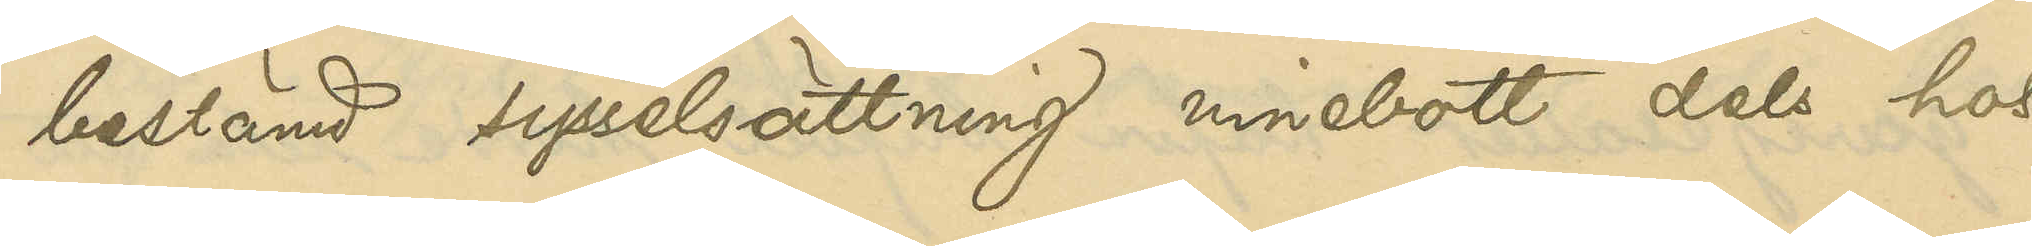bestämd sysselsättning innebott dels hos
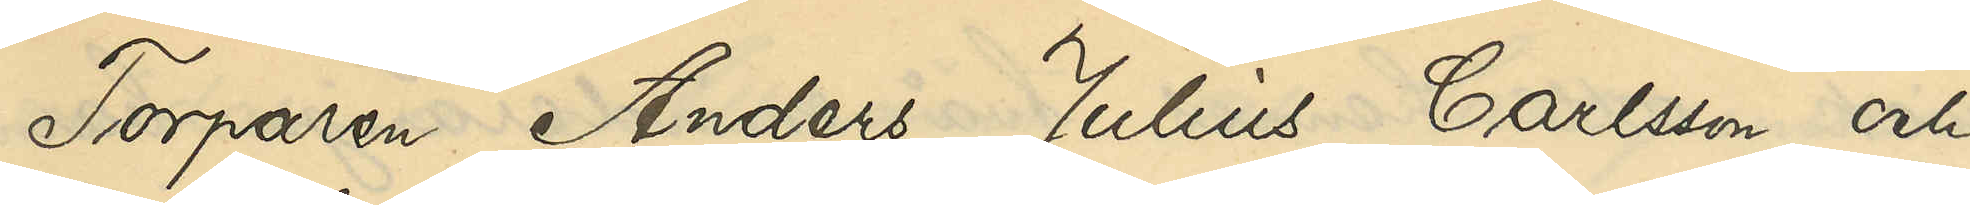Torparen Anders Julius Carlson och
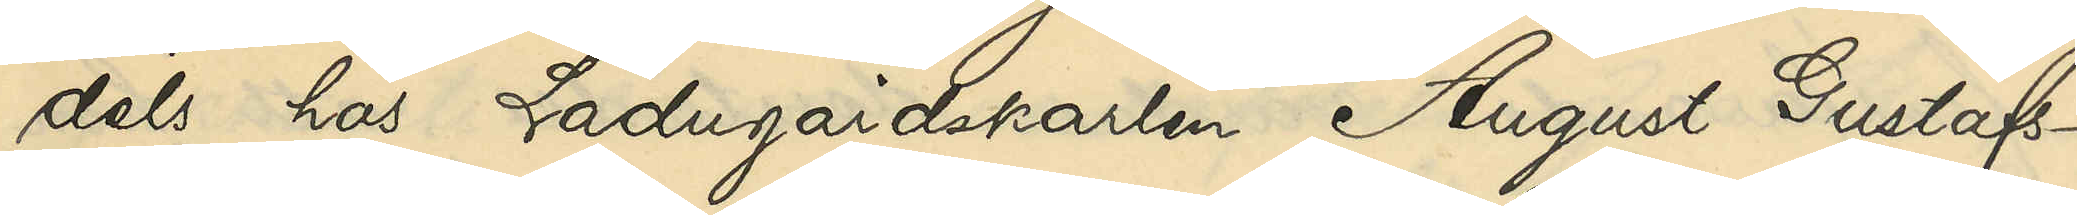dels hos Ladugårdskarlen August Gustafs¬
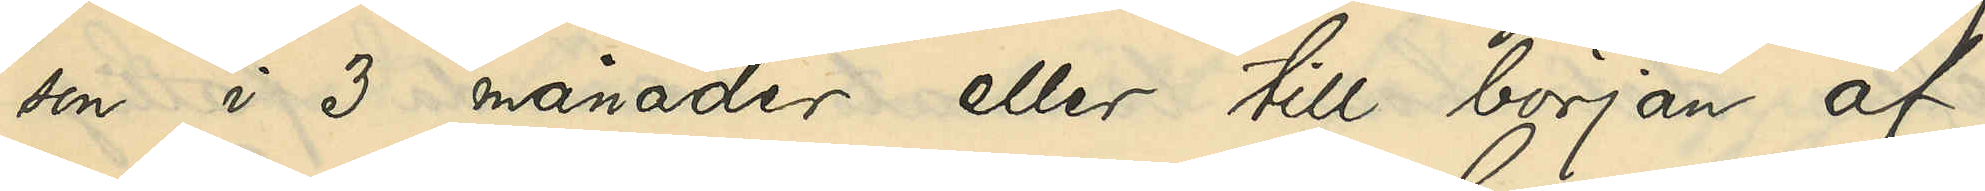son i 3 månader eller till början af
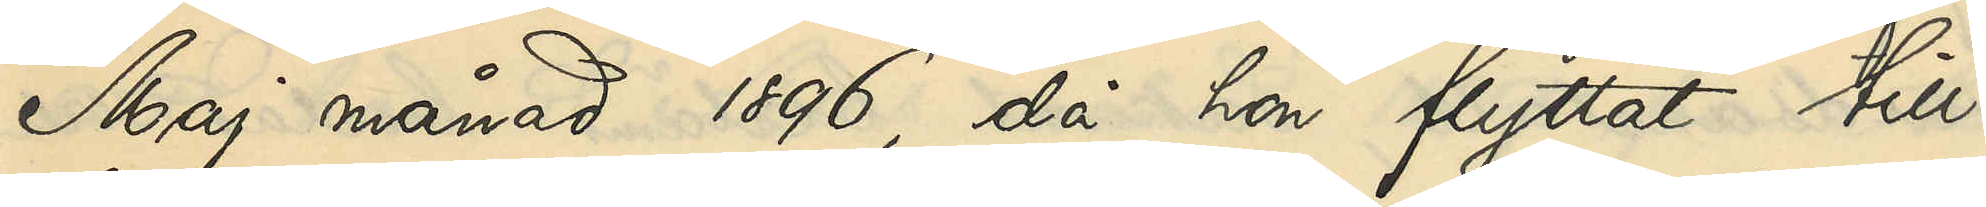Maj månad 1896, då hon flyttat till
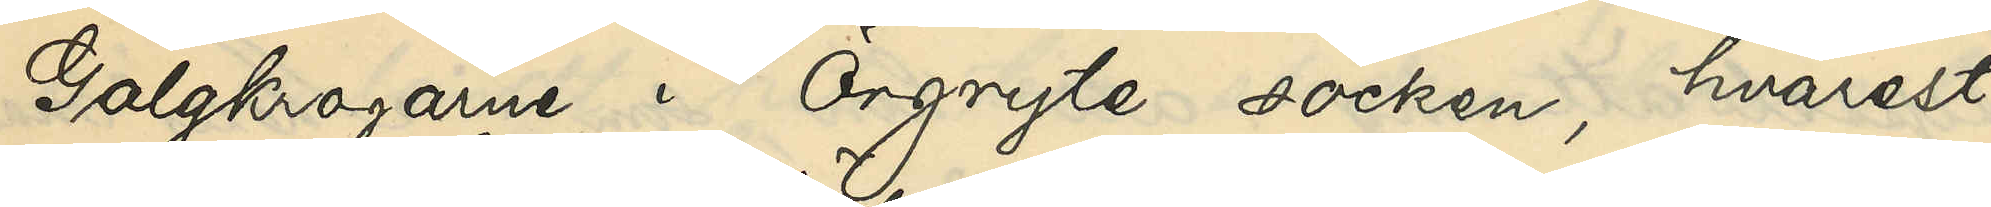Galgkrogarne i Örgryte socken, hvarest
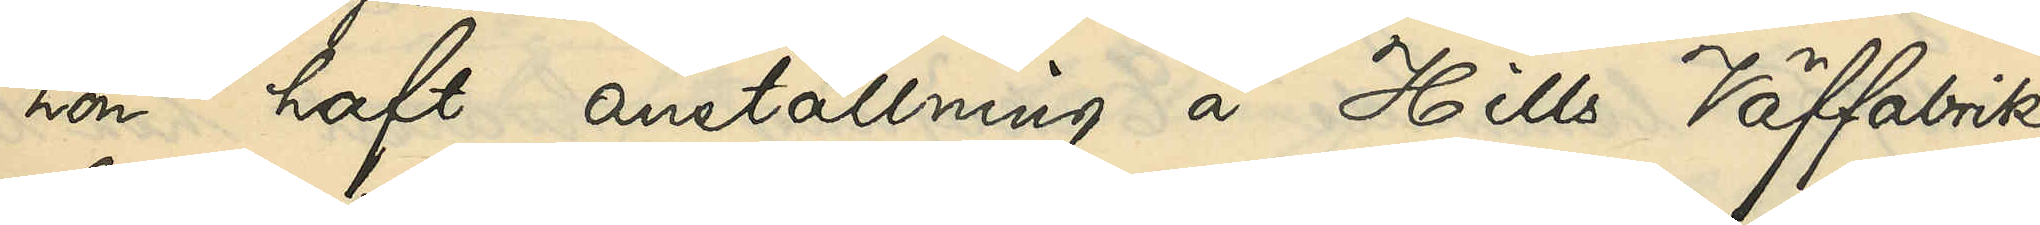hon haft anställning å Hills Väffabrik
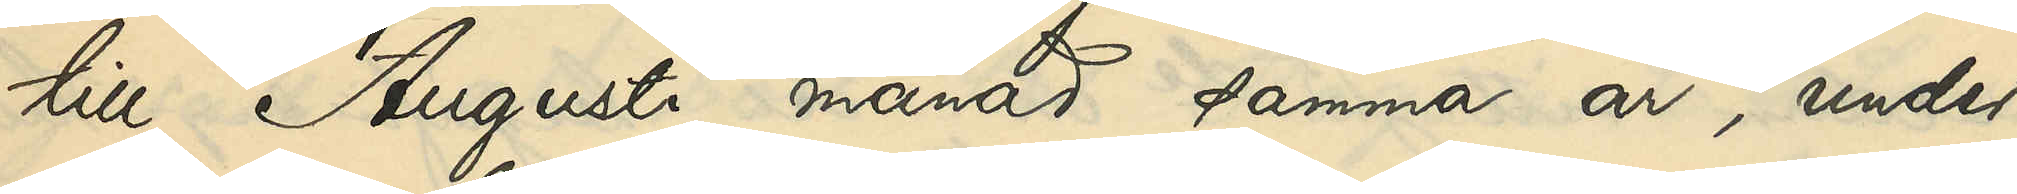till Augusti månad samma år, under
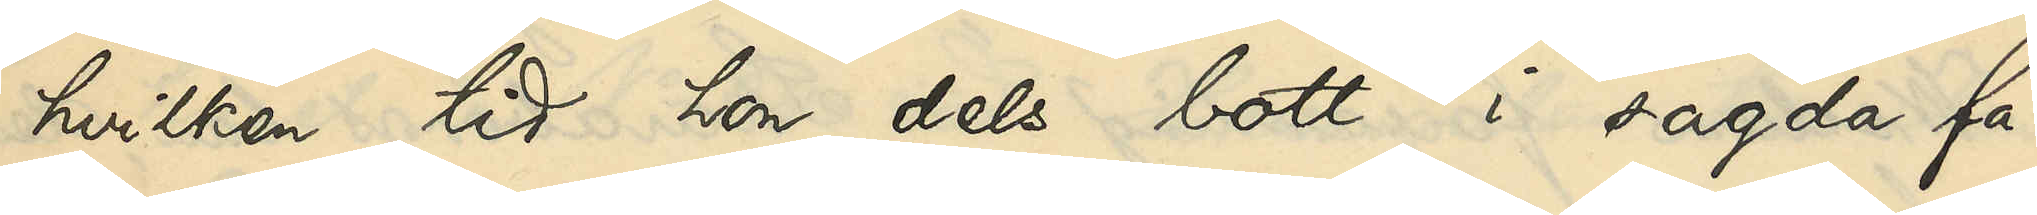hvilken tid hon dels bott i sagda fa¬
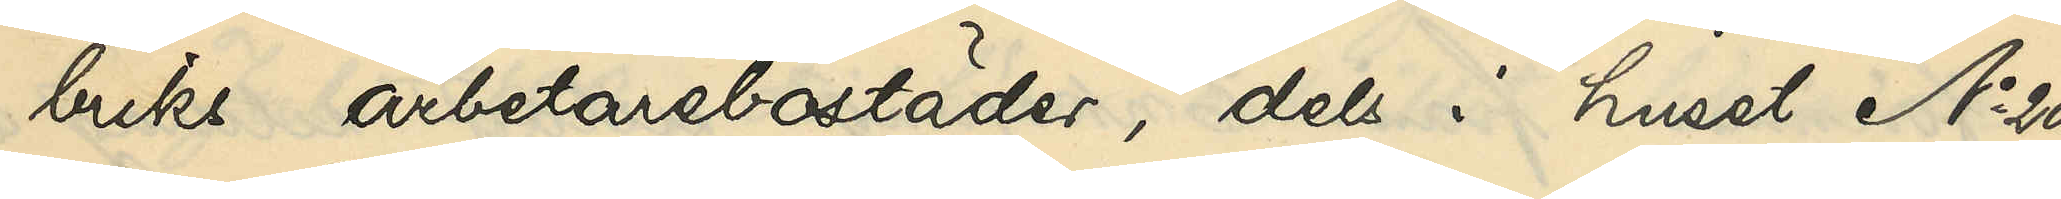briks arbetarebostäder, dels i huset No 20
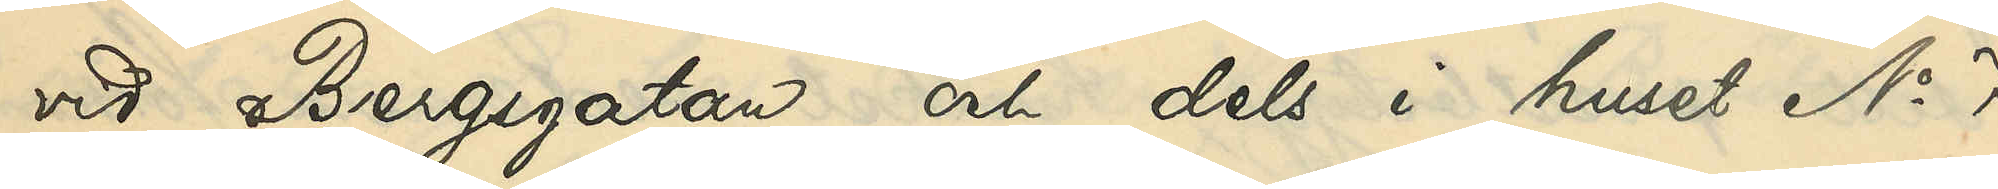vid Bergsgatan och dels i huset No 7
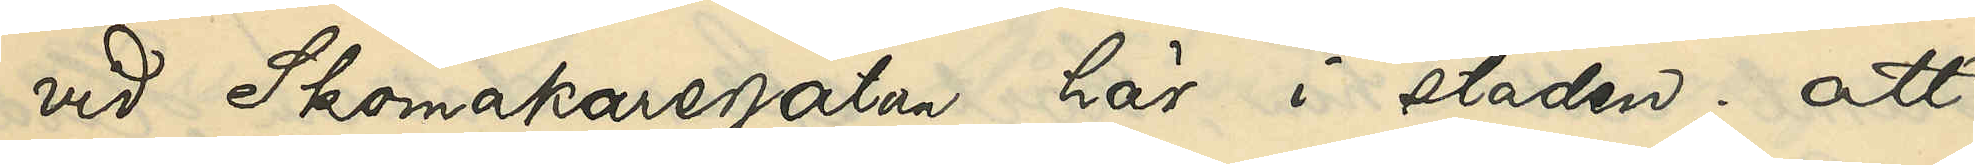vid Skomakaregatan här i staden; att
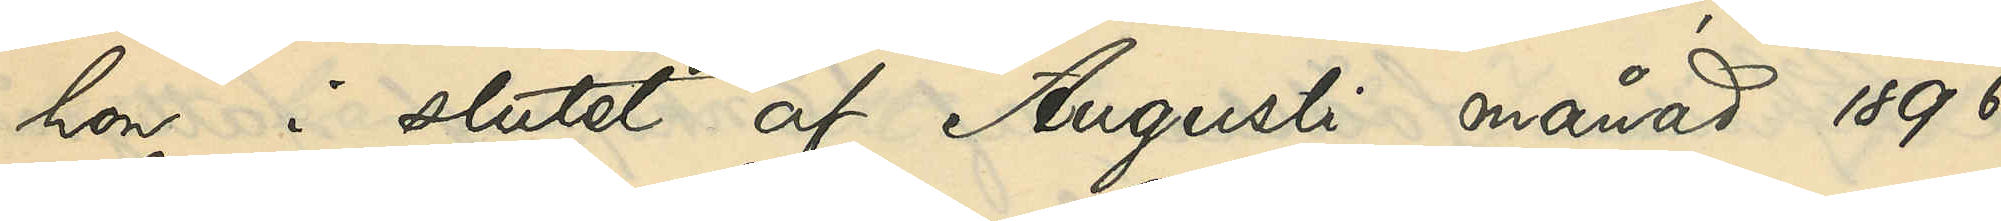hon i slutet af Augusti månad 1896
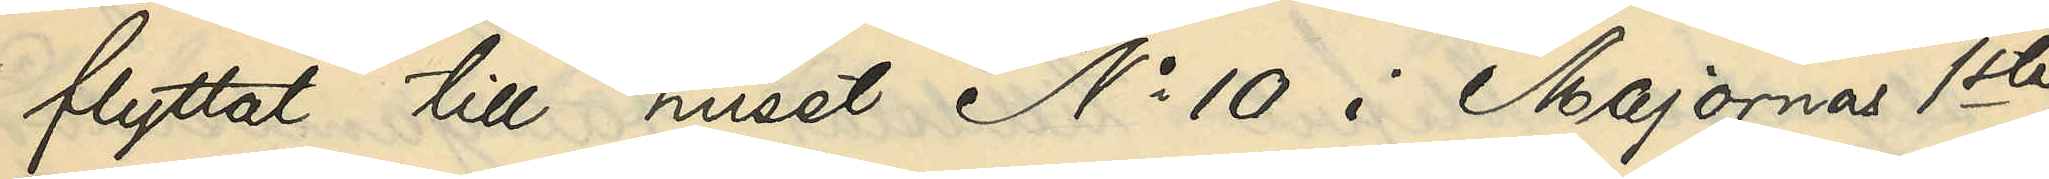flyttat till huset No 10 i Majornas 1ste
